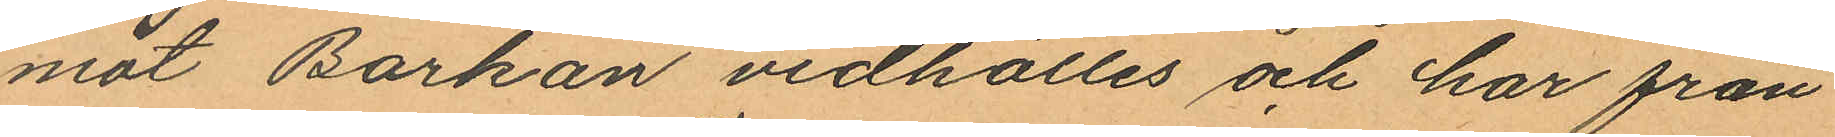mot Barkan vidhölles och har från
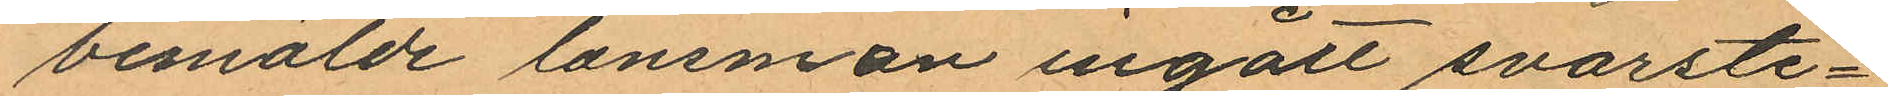bemälde länsman ingått svarste¬
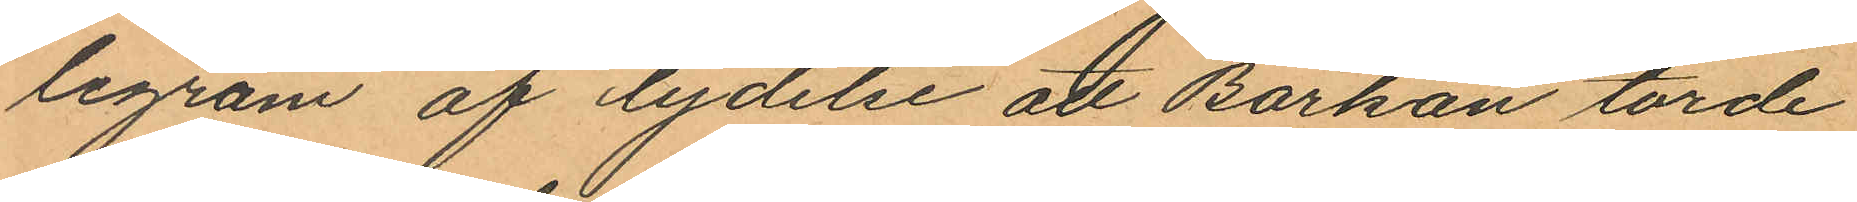legram af lydelse att Barkan torde
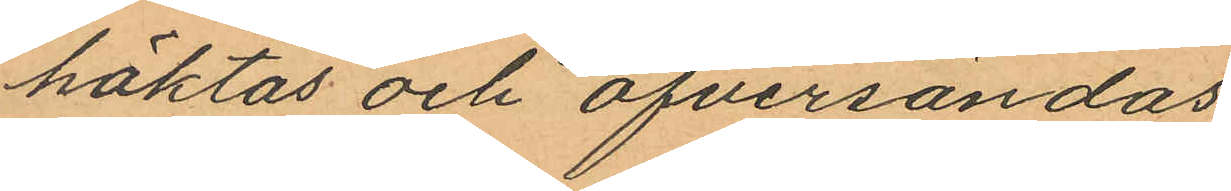häktas och öfversändas
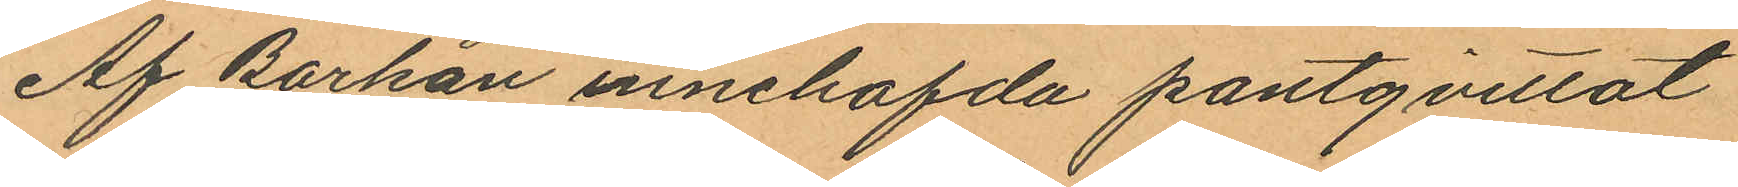Af Barkan innehafda pantqvittot
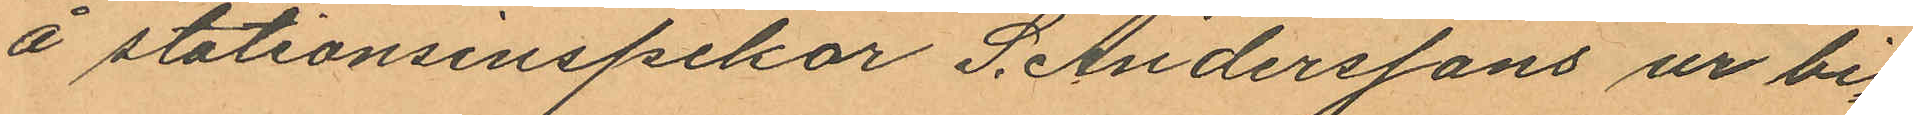å stationsinspekor S. Anderssons ur bi¬
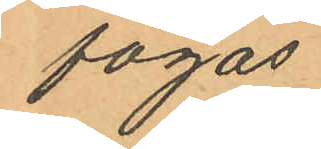fogas.
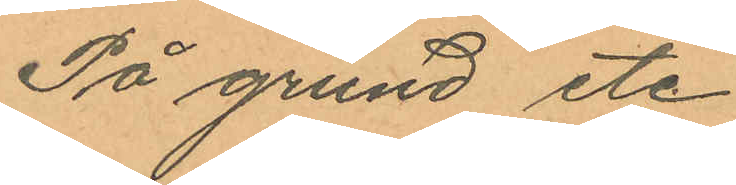På grund etc
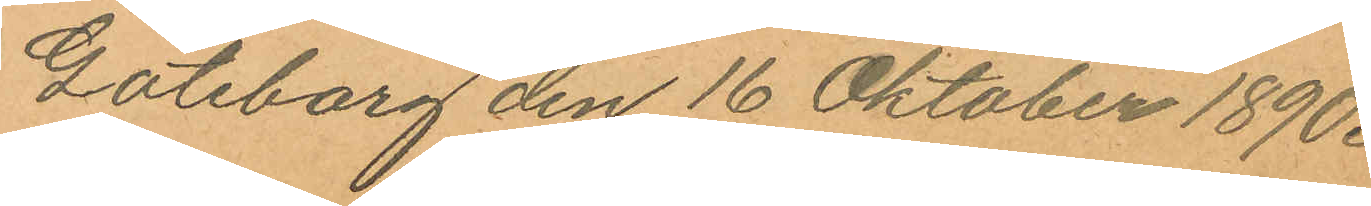Göteborg den 16 Oktober 1890.
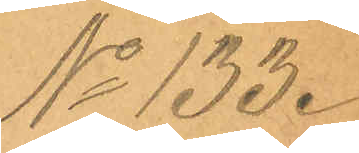No 133.
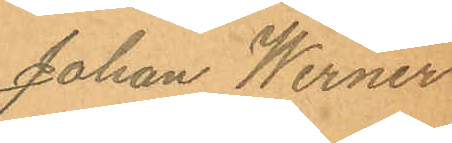Johan Werner
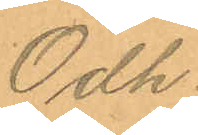Odh.
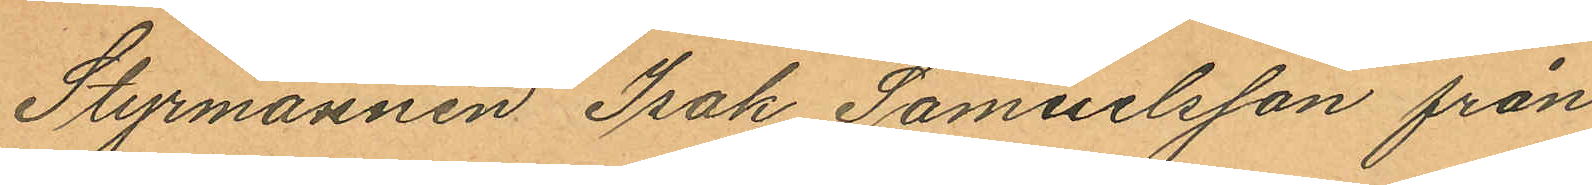Styrmannen Isak Samuelsson från
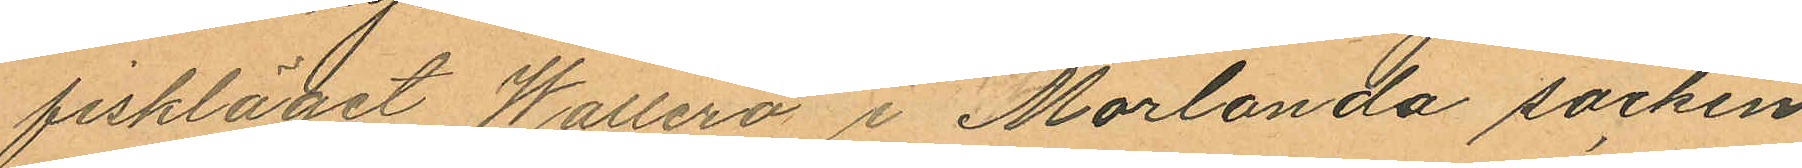fiskläget Wallerö i Morlanda socken
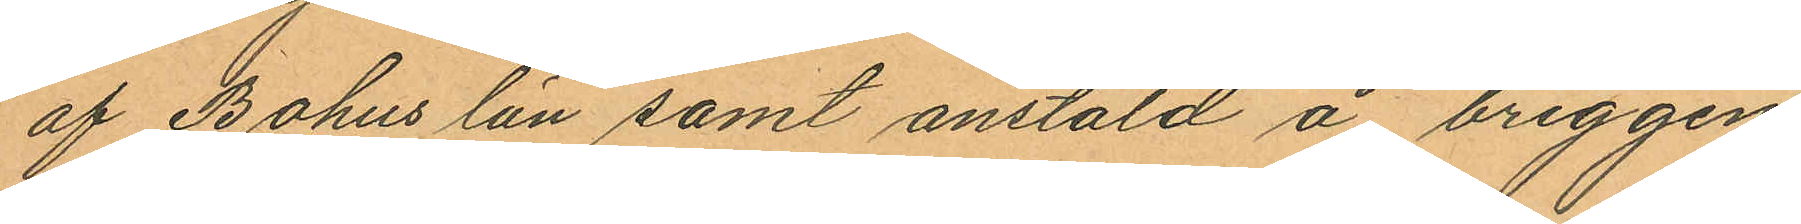af Bohus län samt anstäld å briggen
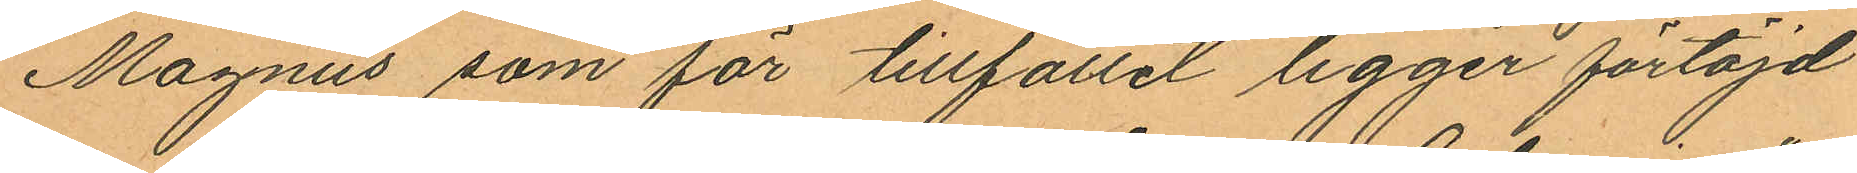Magnus som för tillfället ligger förtöjd
